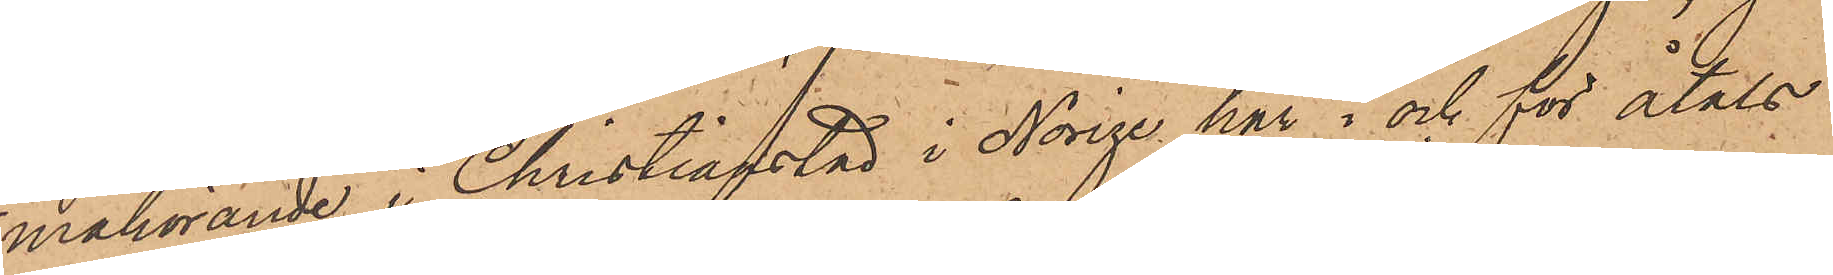mahörande i Christianstad i Norige, har i och för åtals
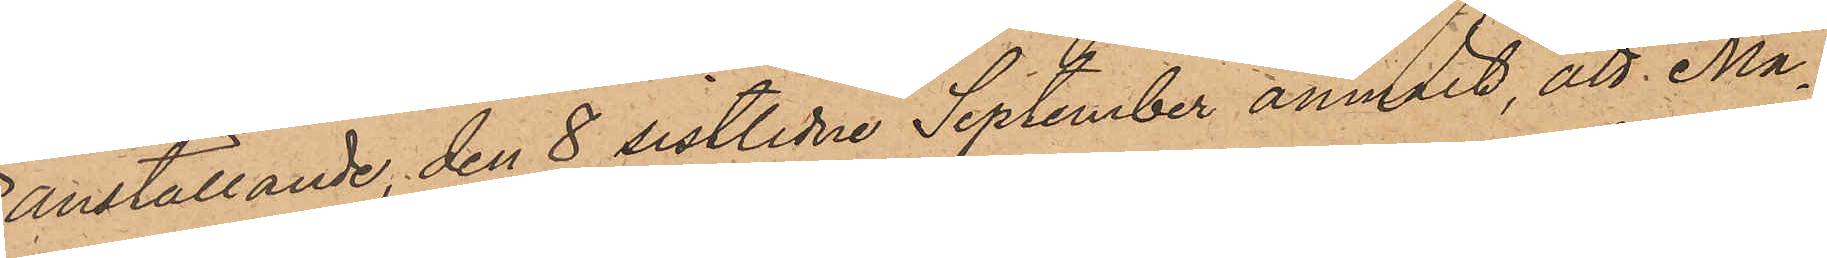anställande, den 8 sistlidne September anmält, att Ma¬
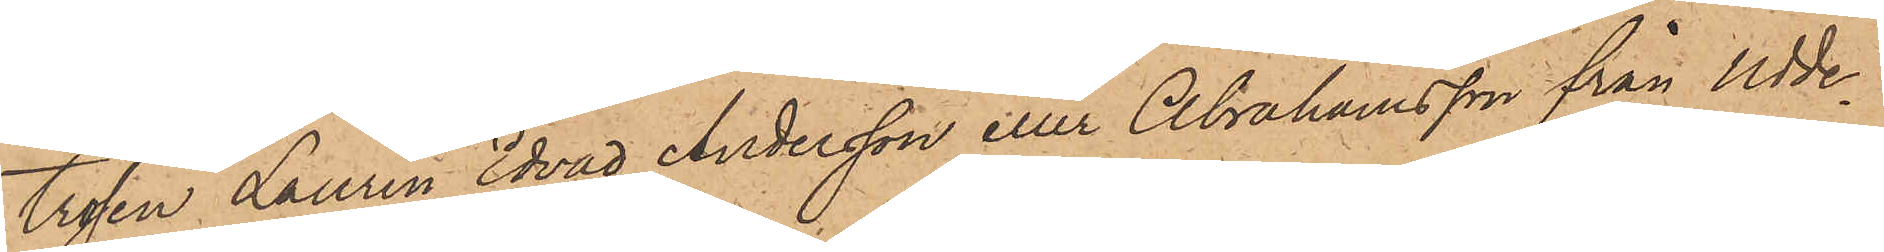trosen Laurin Edvad Andersson eller Abrahamsson från Udde¬
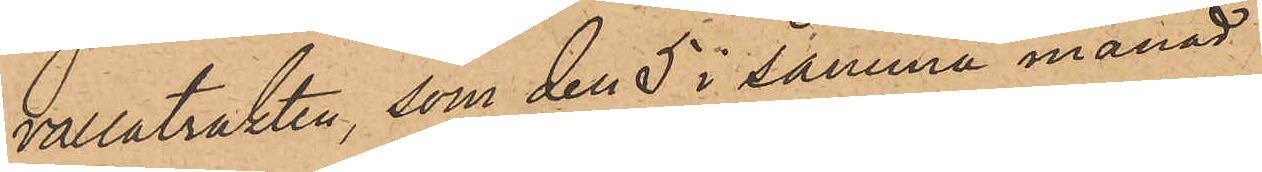vallatrakten, som den 5 i samma månad
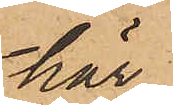här
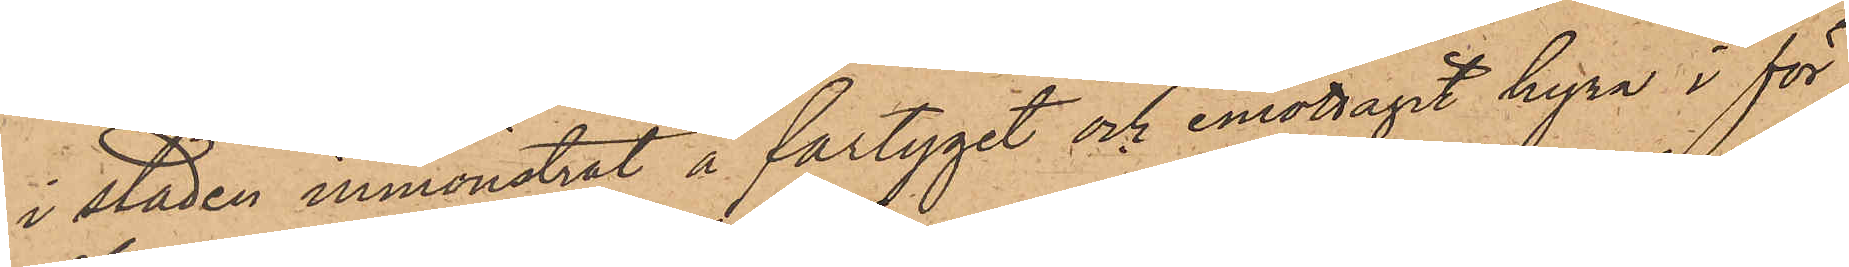i staden inmönstrat å fartyget och emottagit hyra i för¬
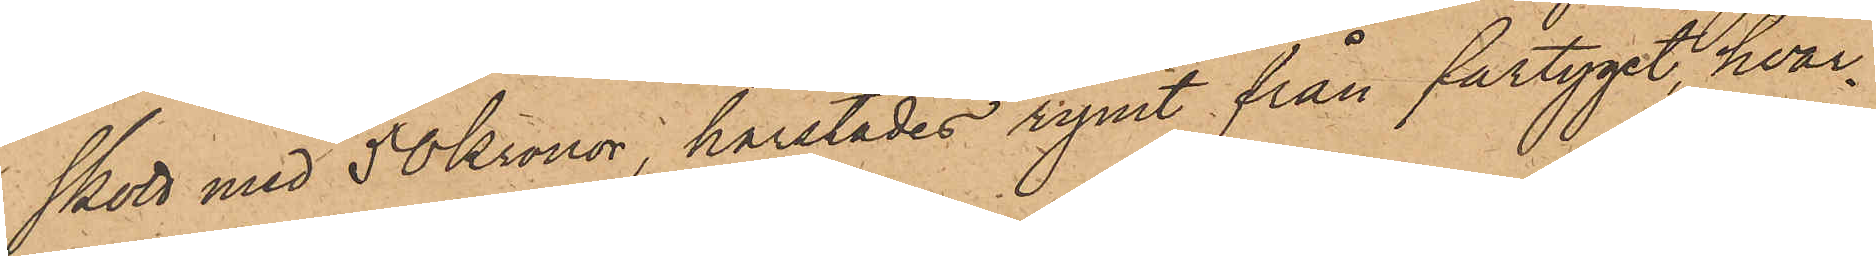skott med 50 Kronor, härstädes rymt från fartyget, hvar¬
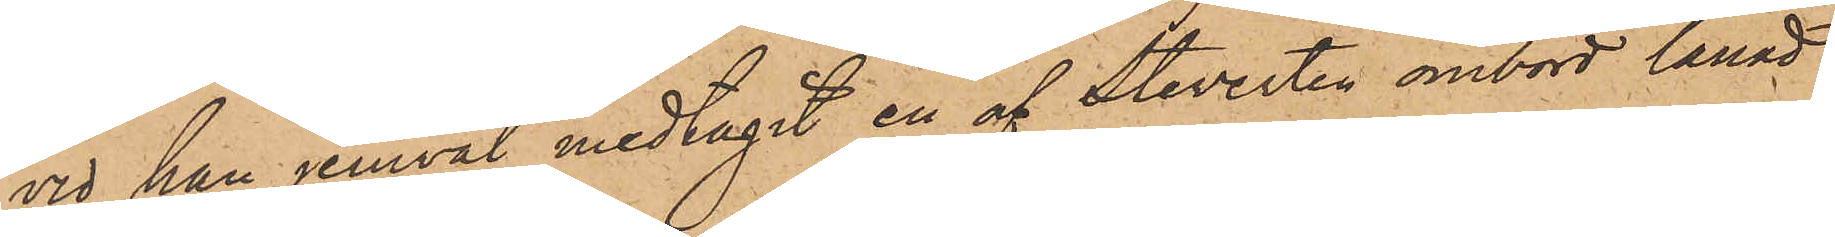vid han jemväl medtagit en af Steverten ombord lånad
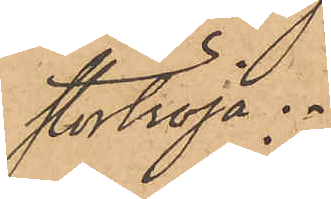stortröja.
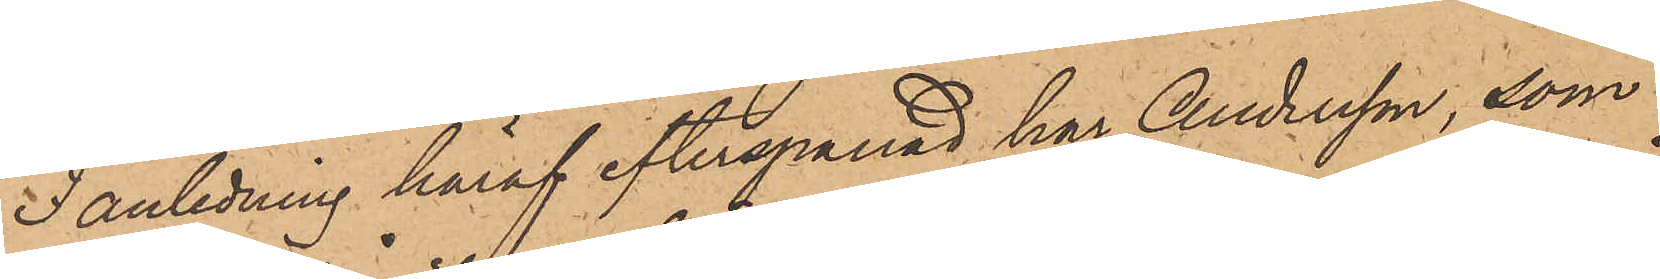I anledning häraf efterspanad har Andersson, som
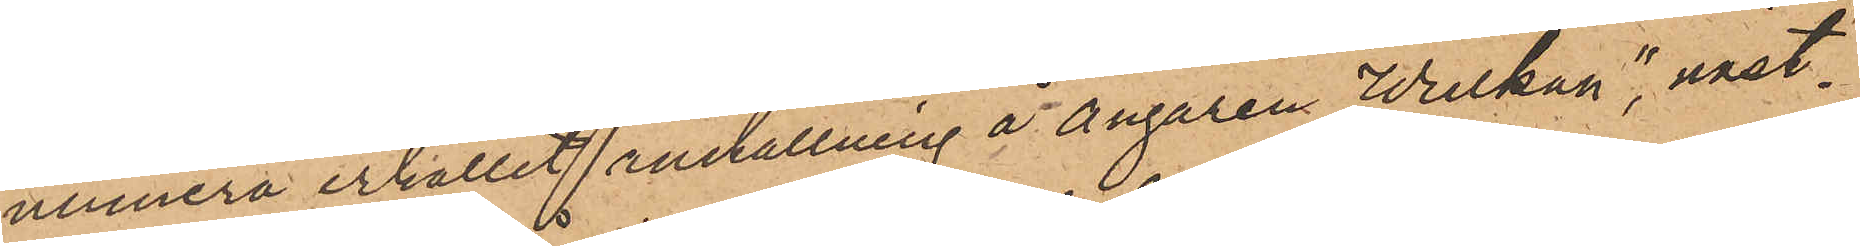numera erhållit anställning å Ångaren "Wulkan", näst¬
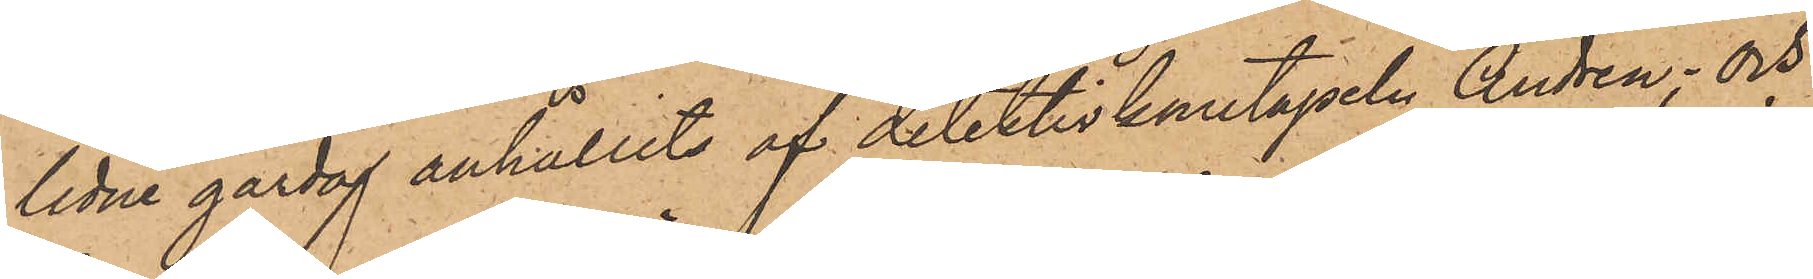lidne gårdag anhållits af detektivkonstapeln Andrén; och
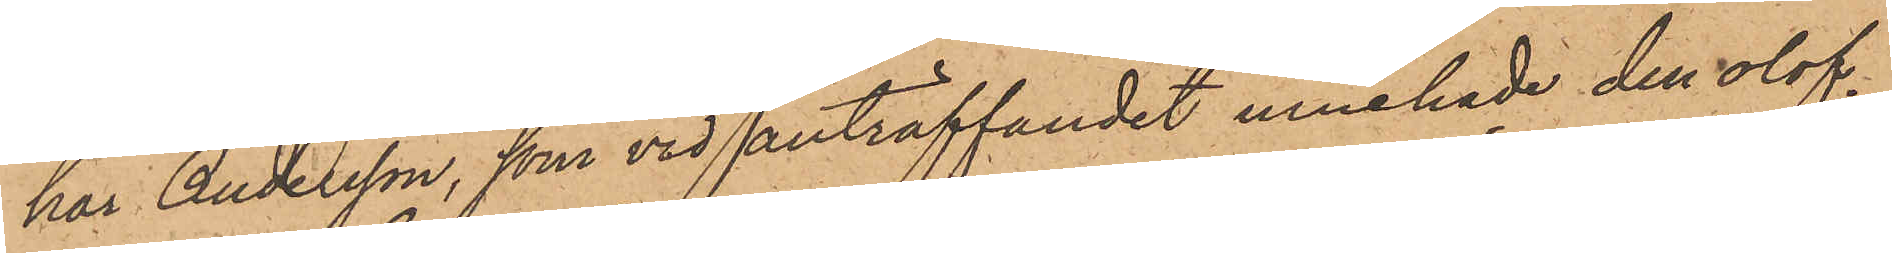har Andersson, som vid anträffandet innehade den olof¬
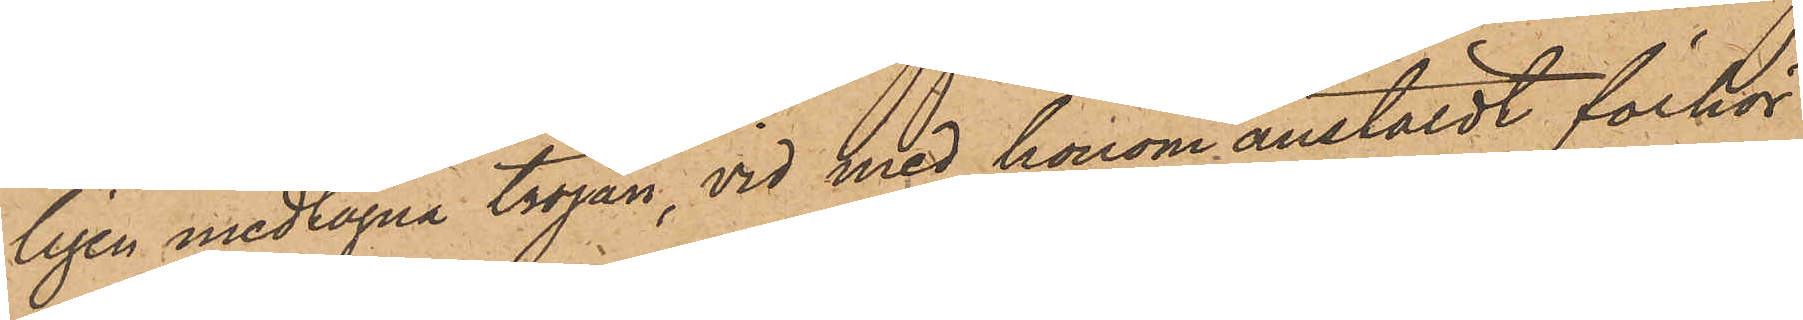ligen medtagna tröjan, vid med honom anstäldt förhör
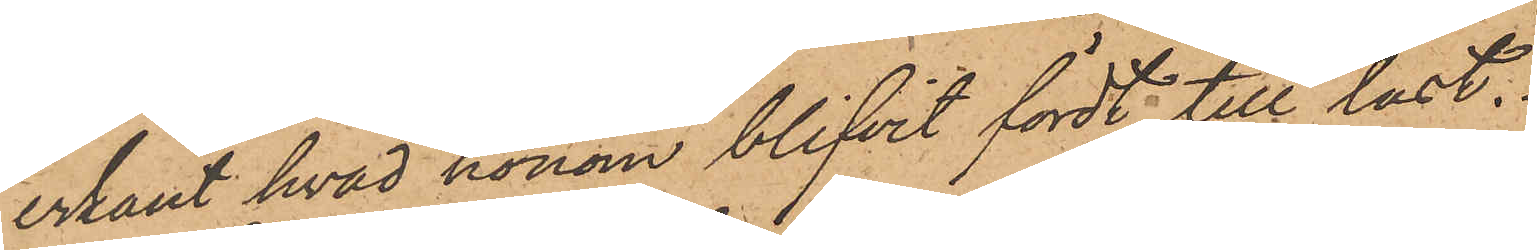erkänt hvad honom blifvit fördt till last.
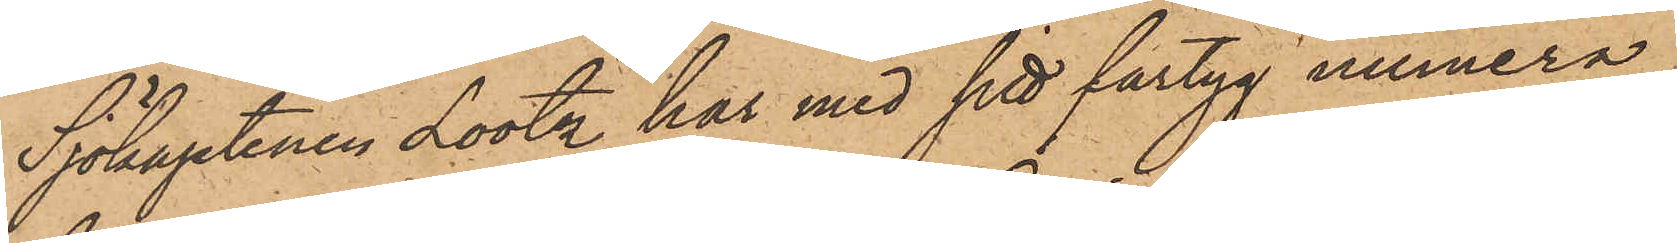Sjökaptenen Lootz har med sitt fartyg numera
